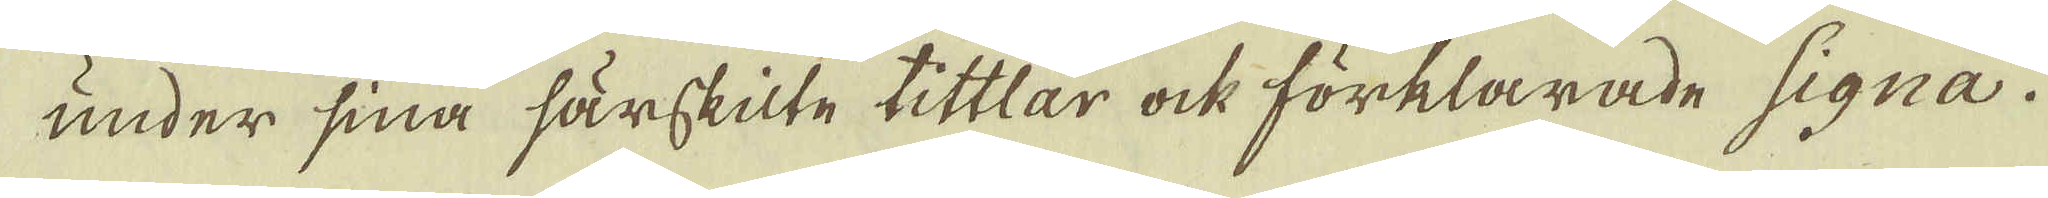under sina särskilte tittlar ock förklarade signa.
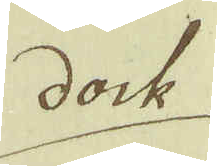dock
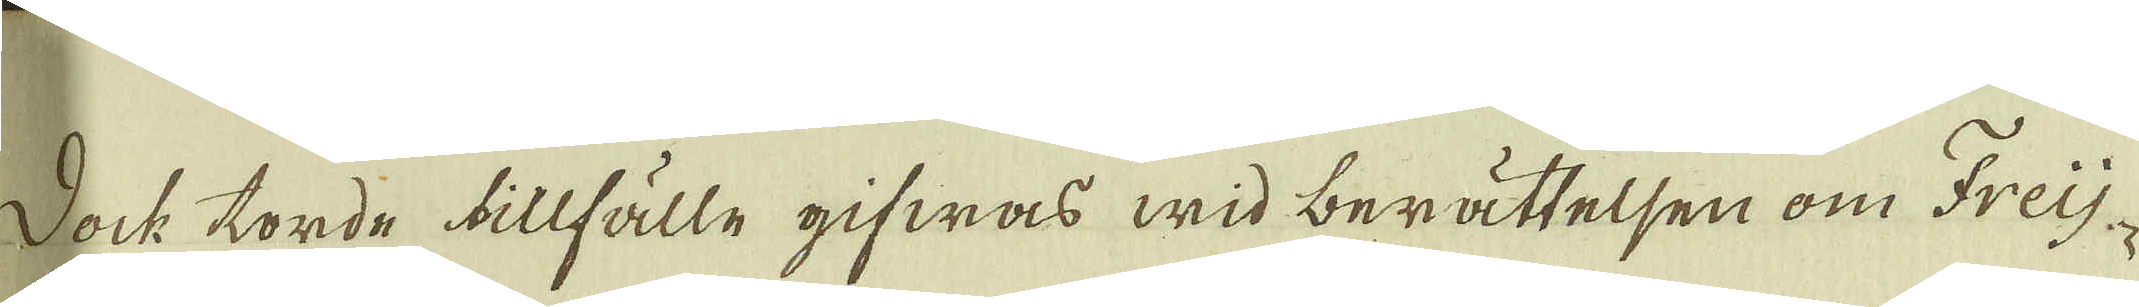Dock torde tillfälle gifwas wid berättelsen om Freij-
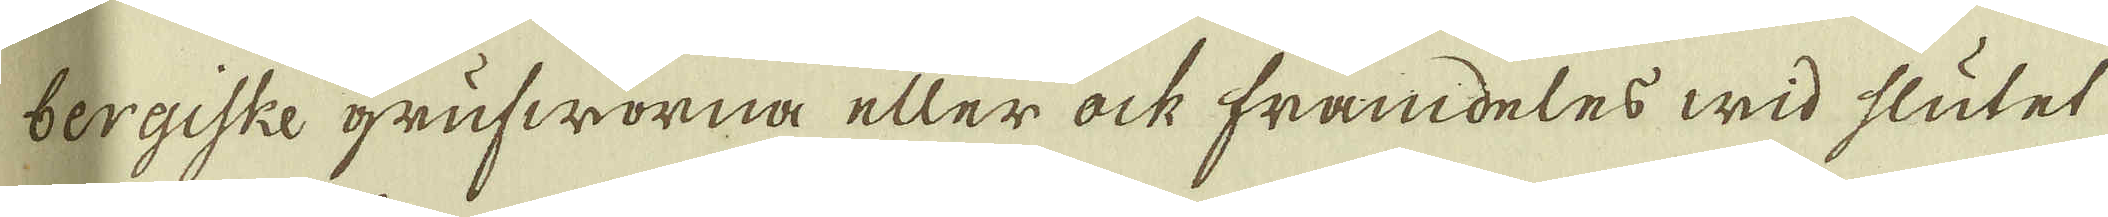bergiske grufworna eller ock framdeles wid slutet
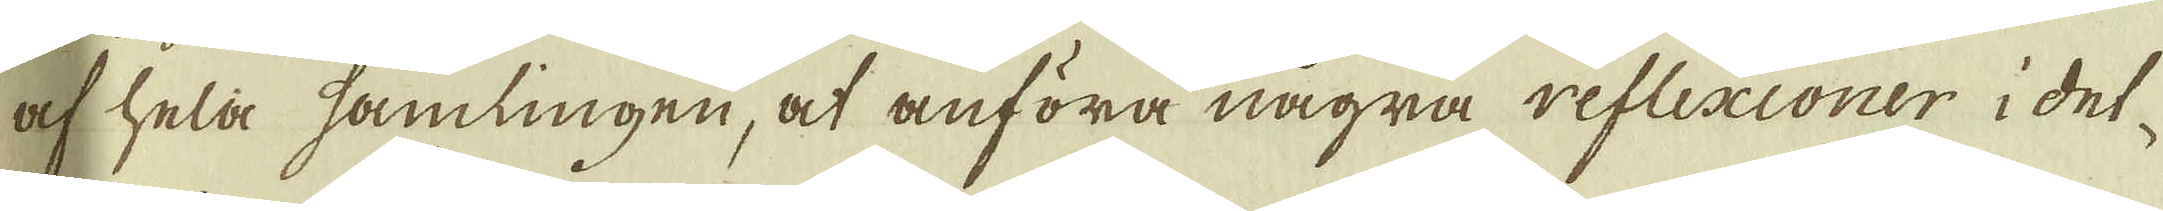af hela samlingen, at anföra några reflexioner i det-
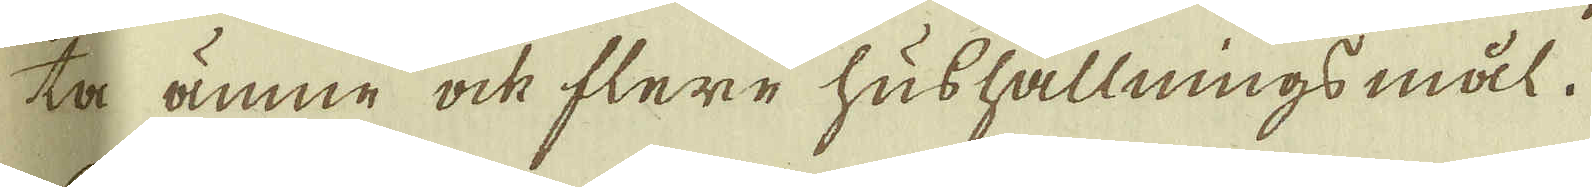ta ämne ock flere hushållningsmål.
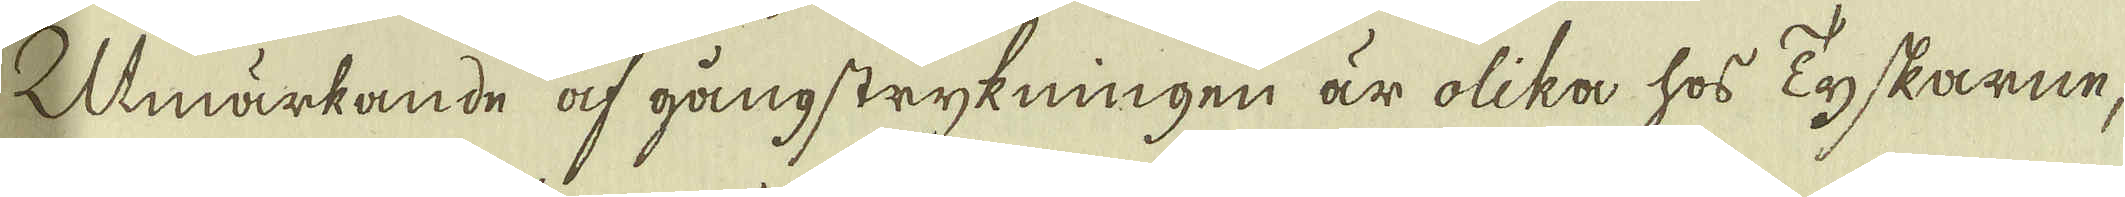Umärkande af gångstrykningen är olika hos Tyskarne,
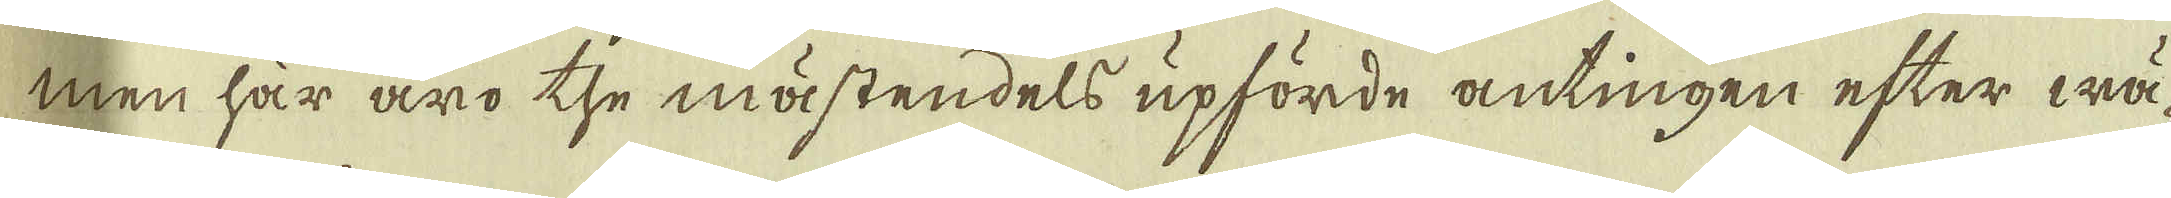men här äro the mästendels upförde antingen efter wä-
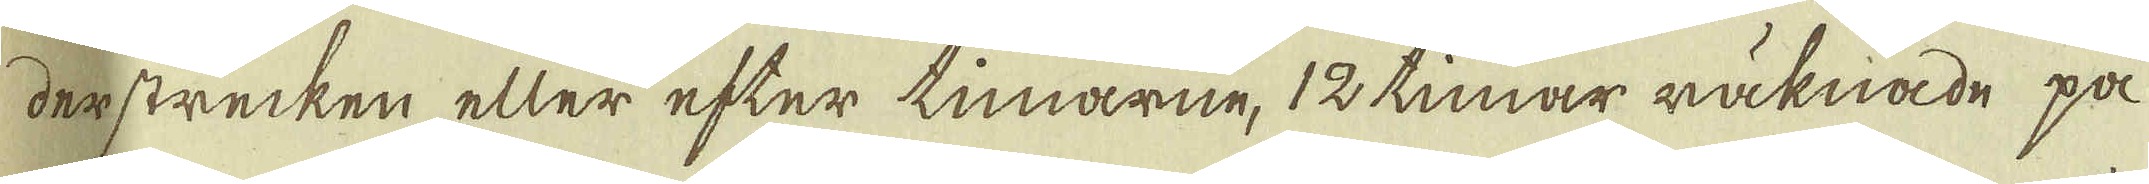derstrecken eller efter timarne, 12 timar räknade på
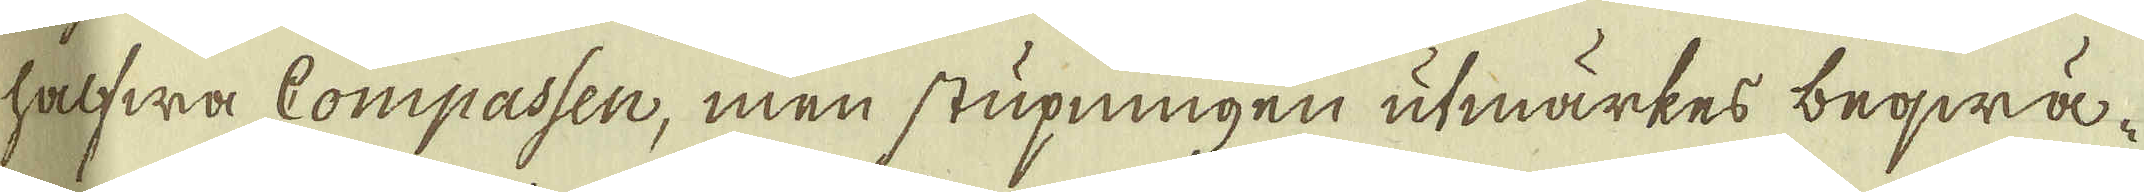halfwa Compassen, men stupningen utmärkes beqwä-
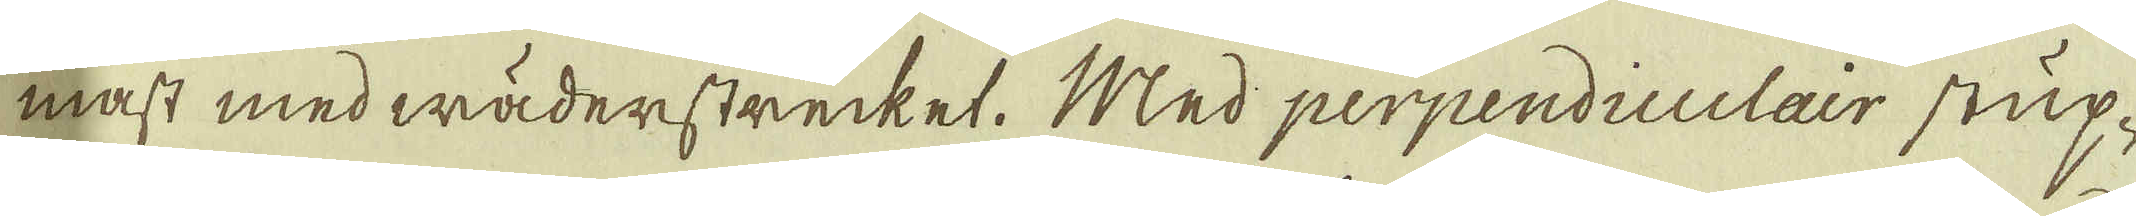mast med wäderstrecket. Med perpendiculair stup-
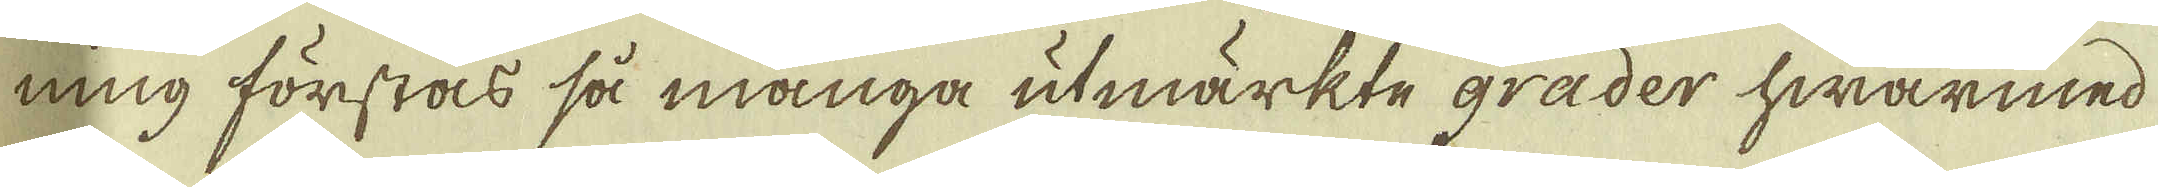ning förstås så många utmärkte grader hwarmed
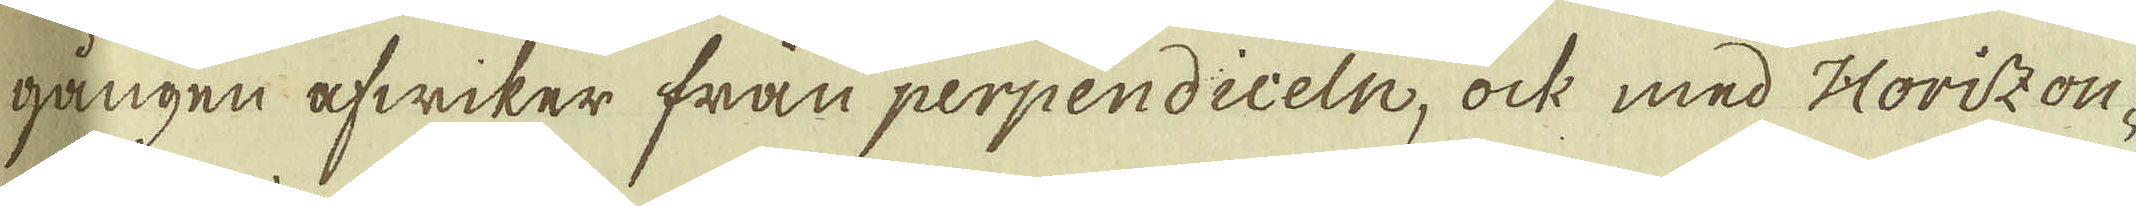gången afwiker från perpendiceln, ock med Horizon-
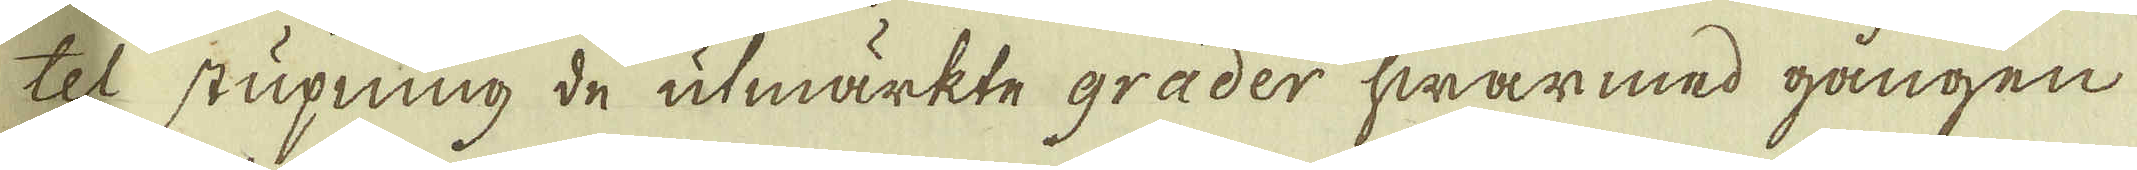tel stupning de utmärkte grader hwarmed gången
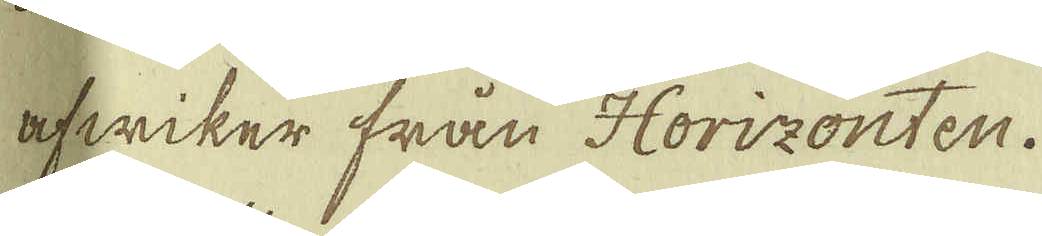afwiker från Horizonten.
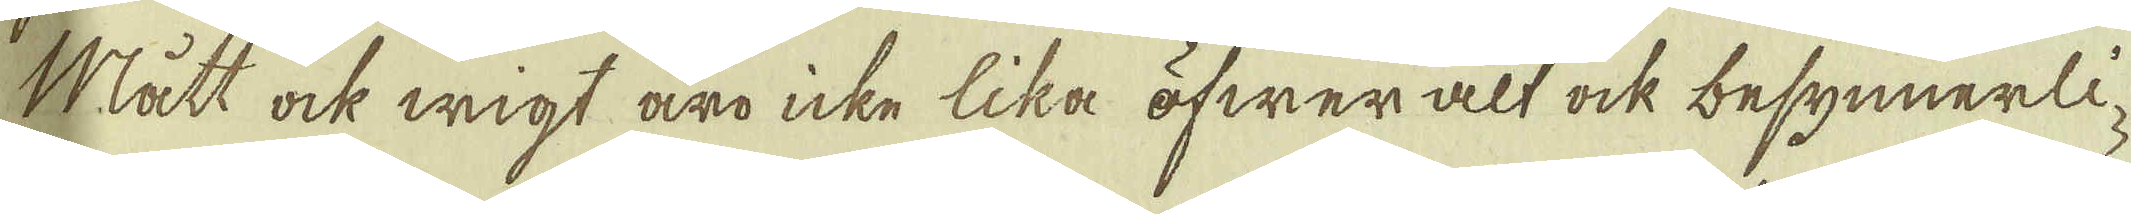Mått ock wigt äro icke lika öfwer alt ock besynnerli-
